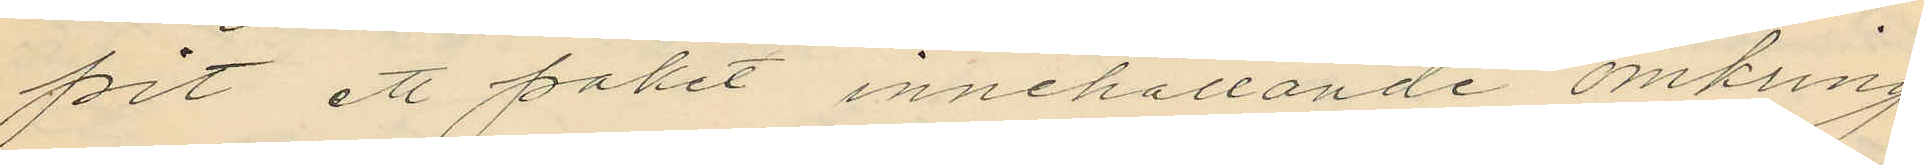fört ett paket innehållande omkring
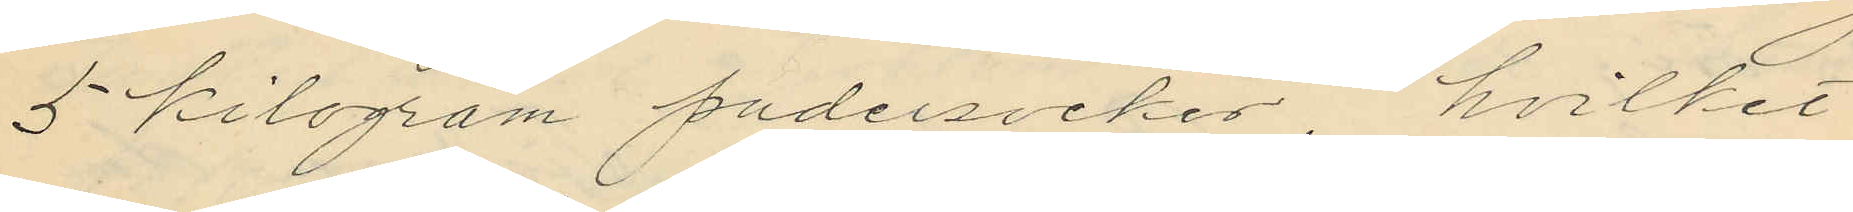5 kilogram pudersocker, hvilket
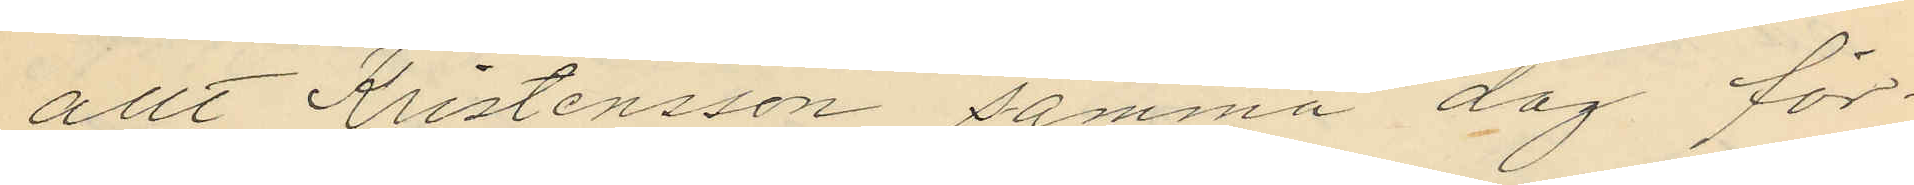allt Kristensson samma dag för
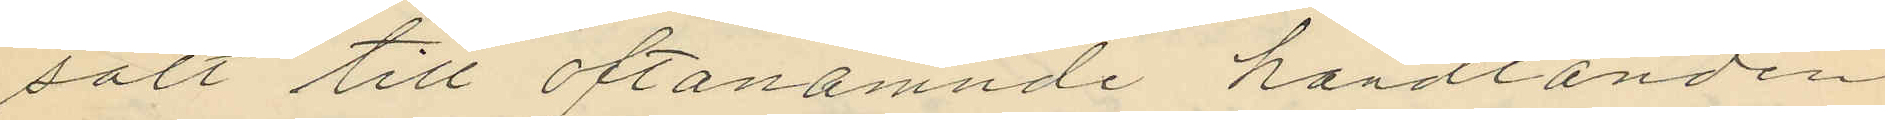sålt till oftanämnde handlanden
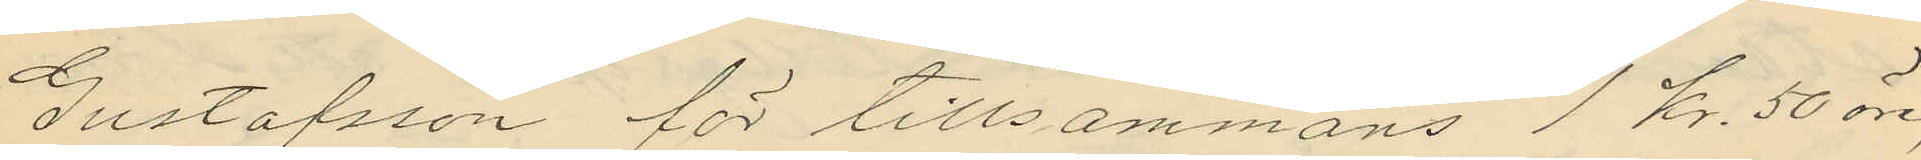Gustafsson för tillsammans 1 kr. 50 öre,
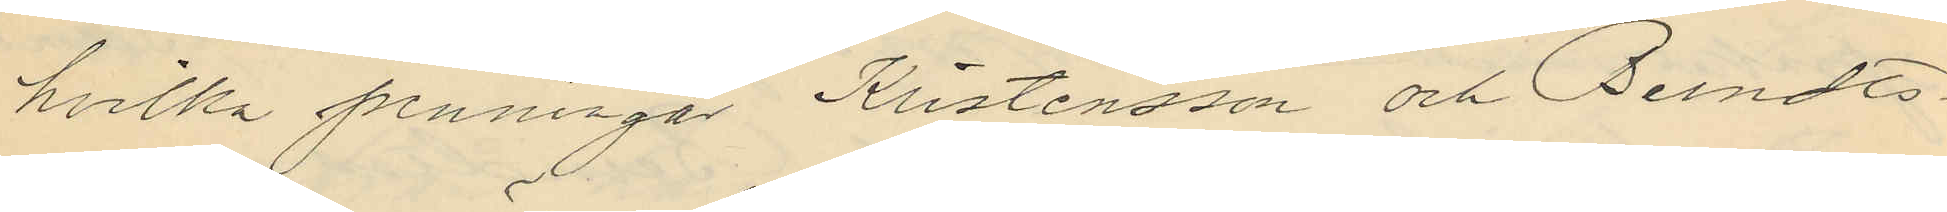hvilka penningar Kristensson och Berndts¬
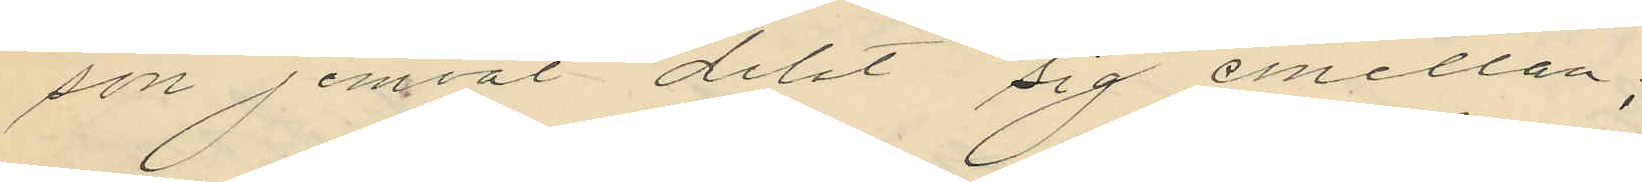son jemväl delat sig emellan;
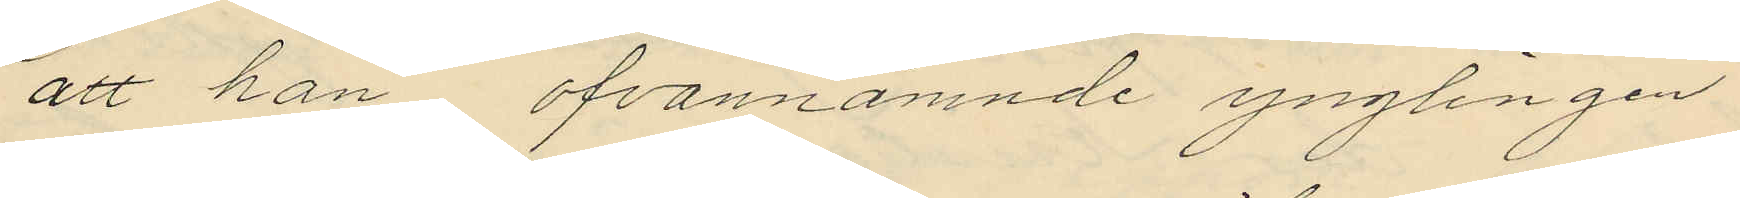att han, ofvannämnde ynglingen
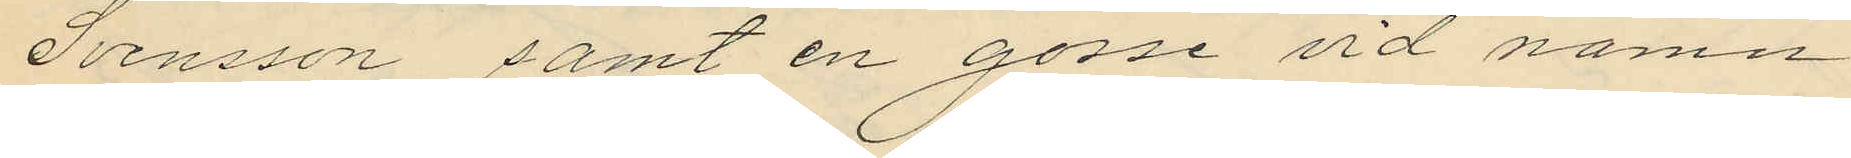Svensson samt en gosse vid namn
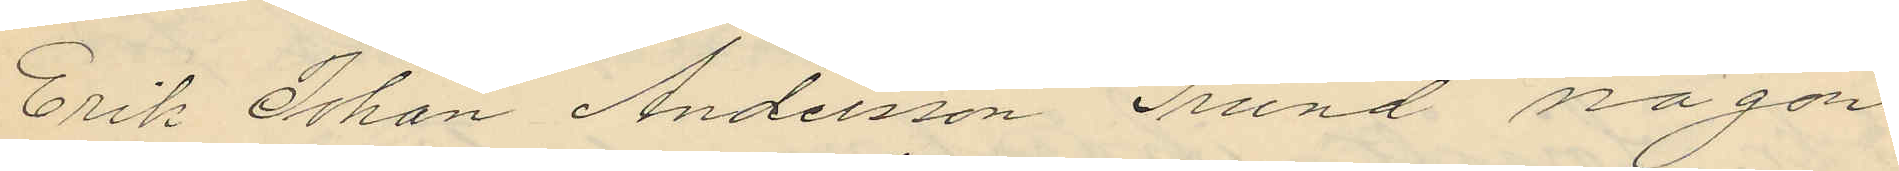Erik Johan Andersson Grund någon
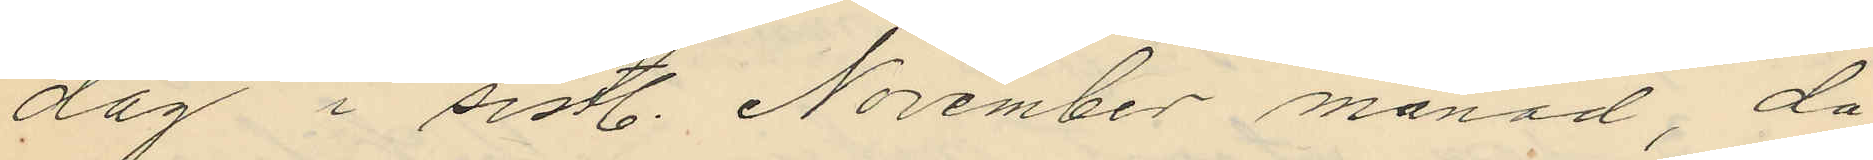dag i sistl. November månad, då
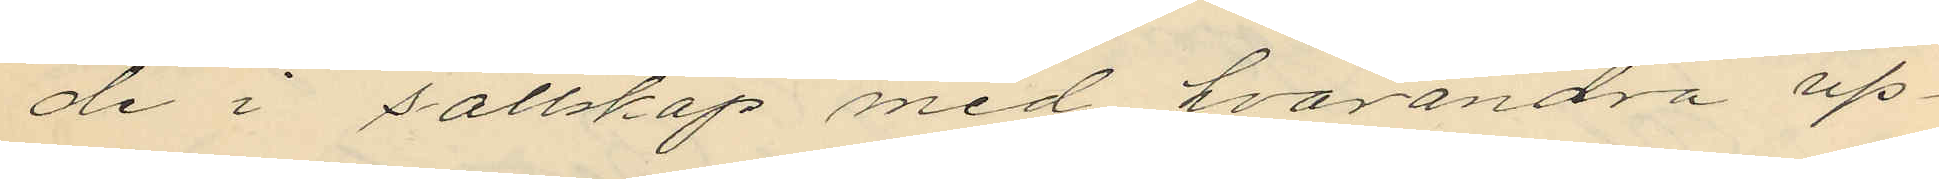de i sällskap med hvarandra up¬
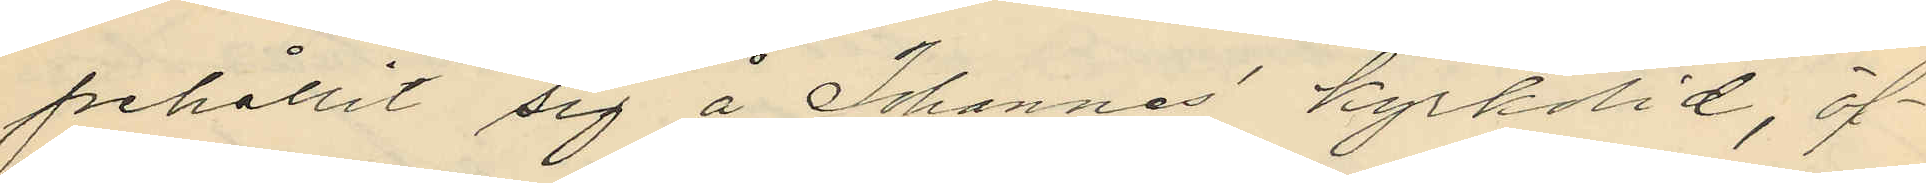pehållit sig å Johannes kyrkolid, öf¬
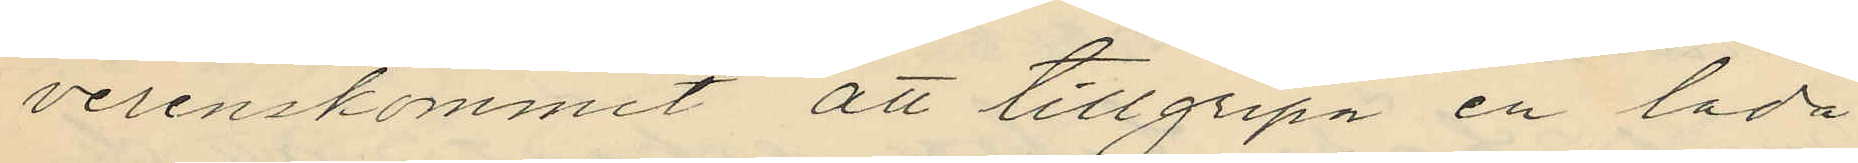verenskommit att tillgripa en låda
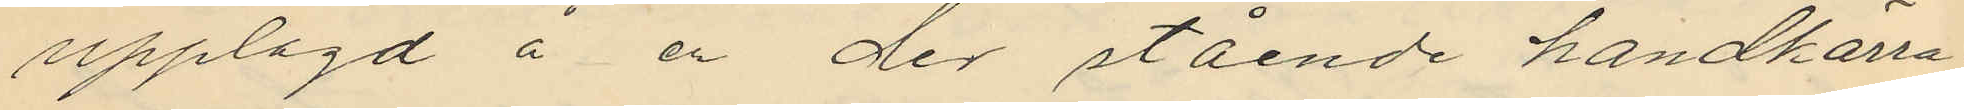upplagd å en der stående handkärra
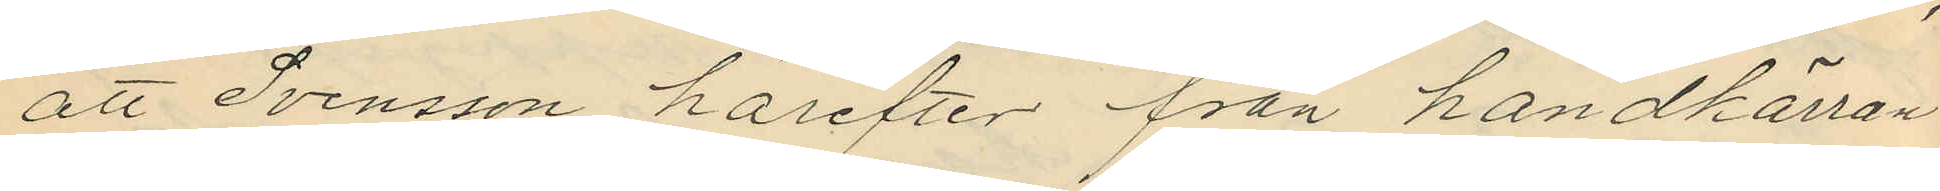att Svensson härefter från handkärran
